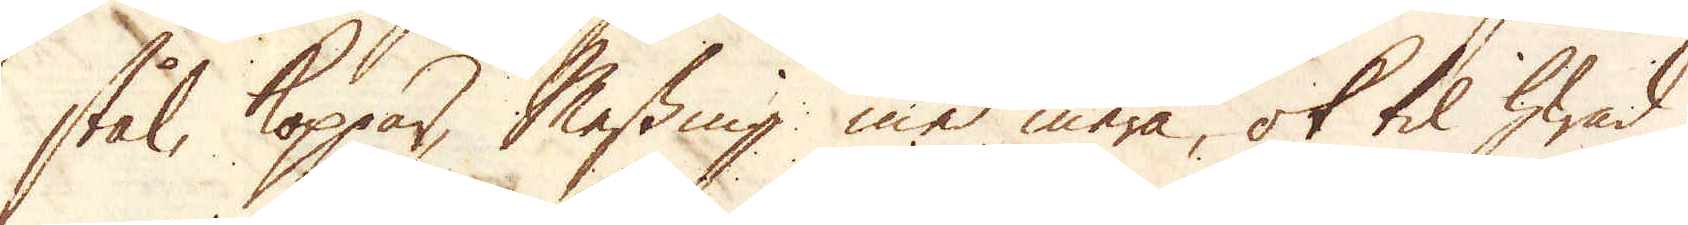stål, koppar, Messing med mera, ok til hwad
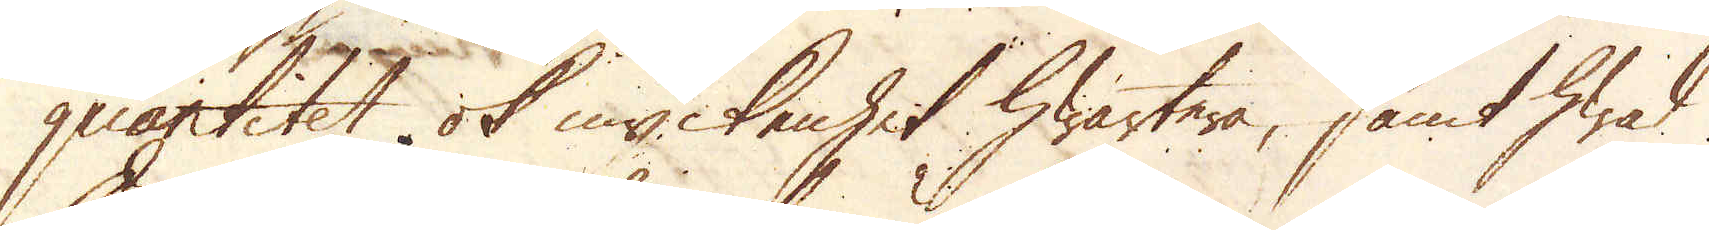quantitet ok myckenhet hwartera, samt hwad
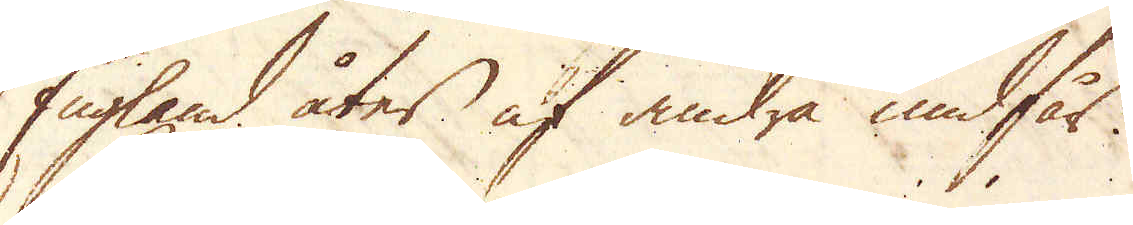England åter af andra undfår.
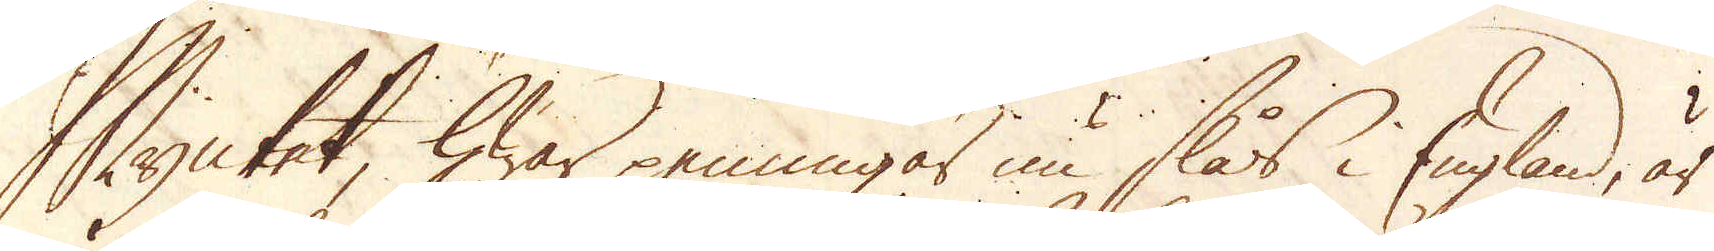Myntet, hwar penningar nu slås i England, är
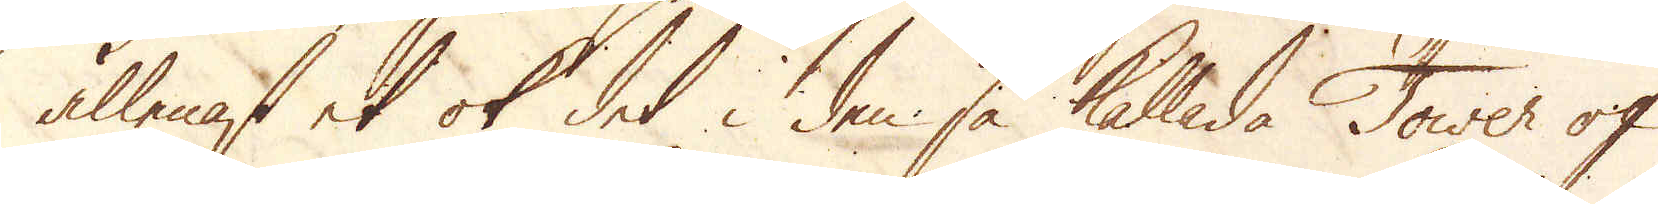allenast et ok det i den så kallade Tower of
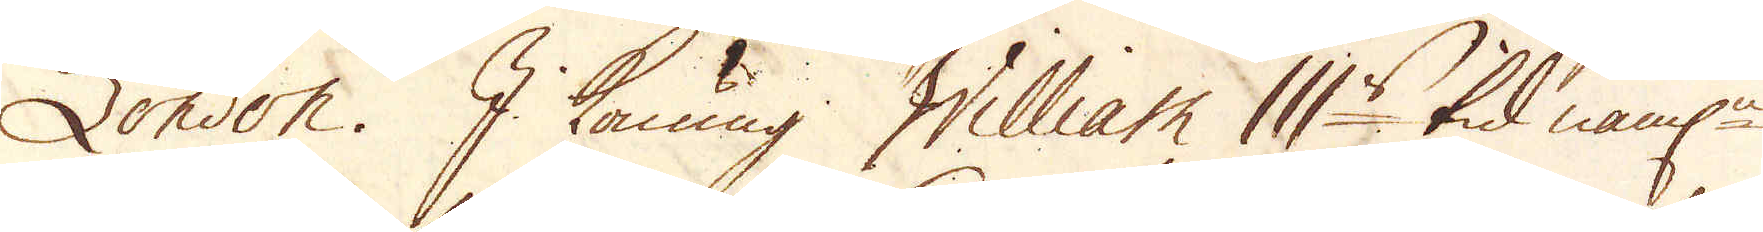London. I Konung William III:s tid näml:n
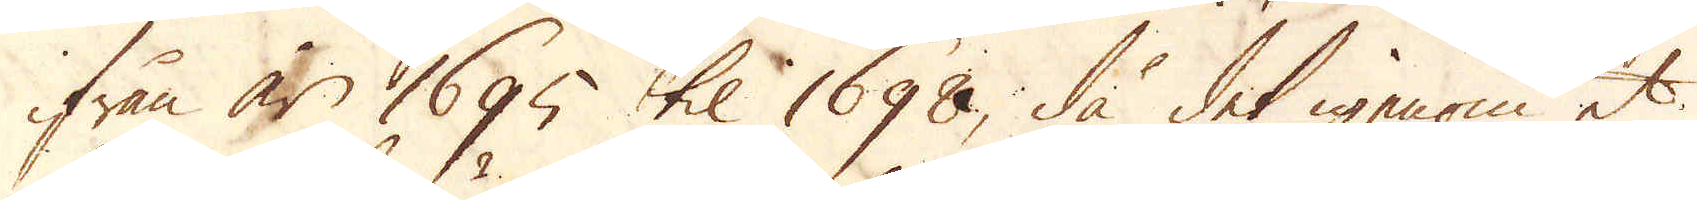ifrån år 1695 til 1698, då det igenom et
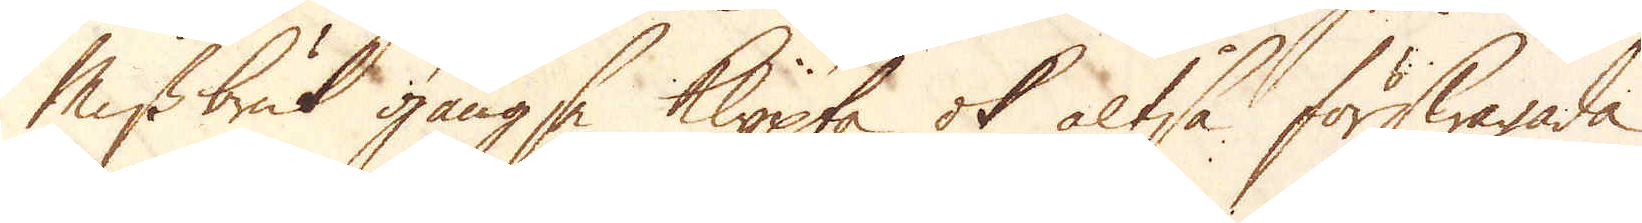Missbruk gängse klypta ok altså förswagade
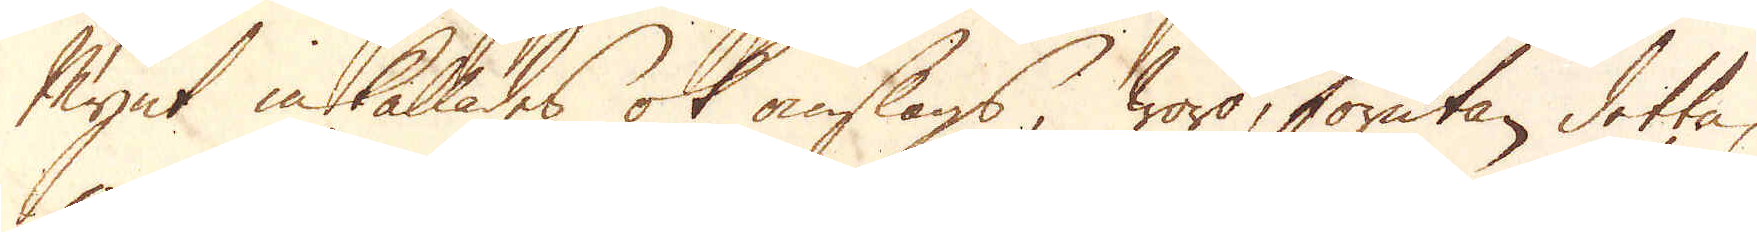Mynt inkallades ok omslogs, woro, förutan detta,
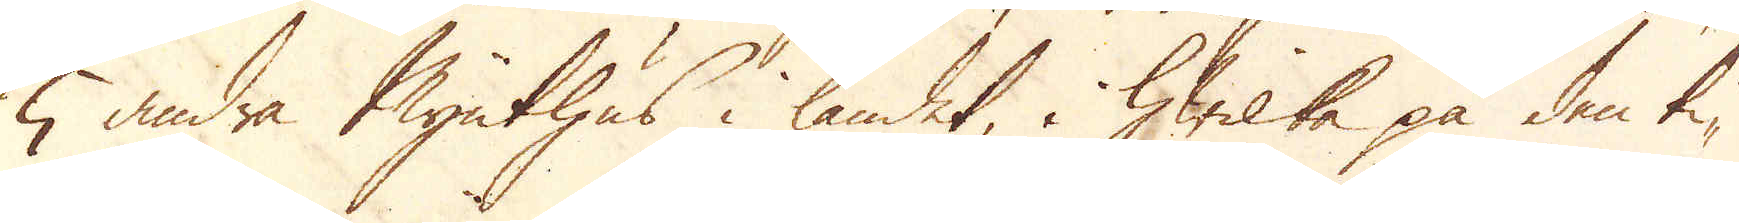5 andra Mynthus i landet, i hwilka på den ti-
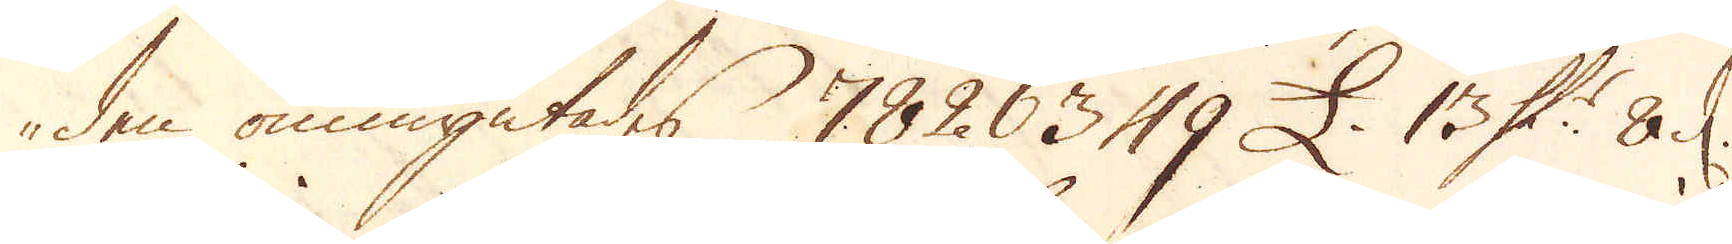den ommyntades 7826349 £. 13 Sk:r 8 d.
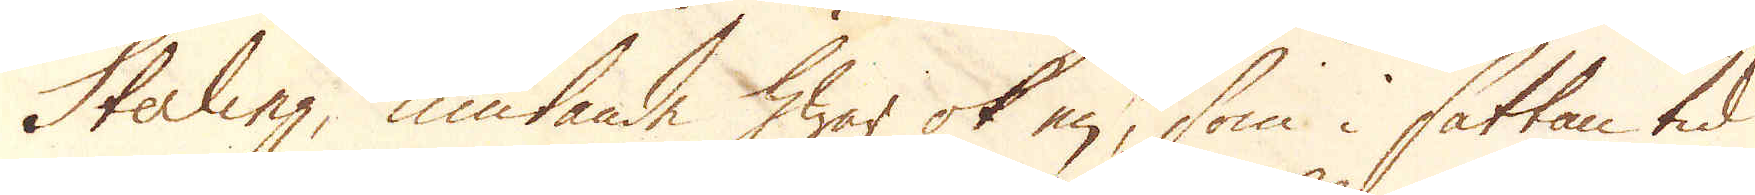Sterling, niutande hwar ok en, som i sattan tid
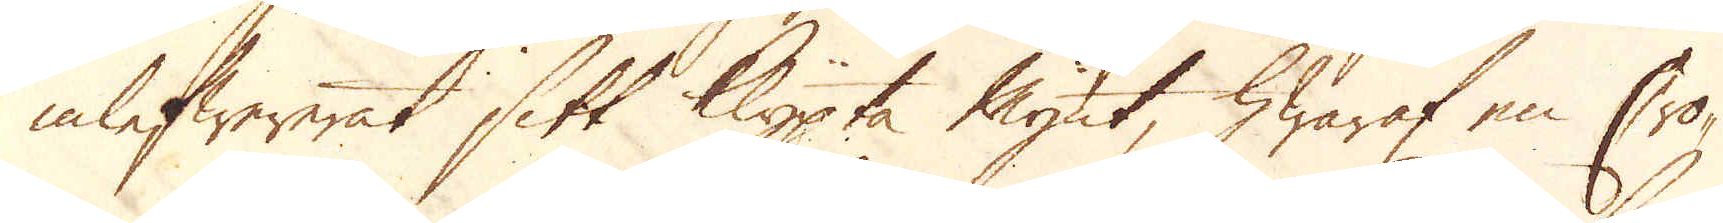inlefwererat sitt klypta Mynt, hwaraf en Cro-
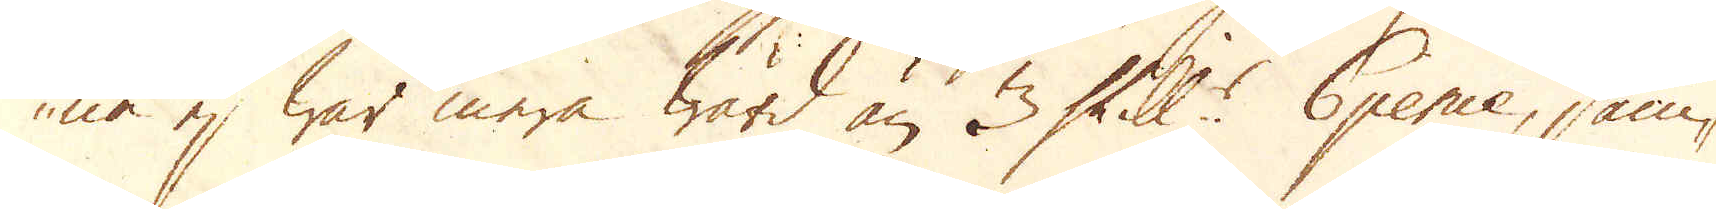ne ej war mera Wärd än 3 Skill:r 6 pence, sam-
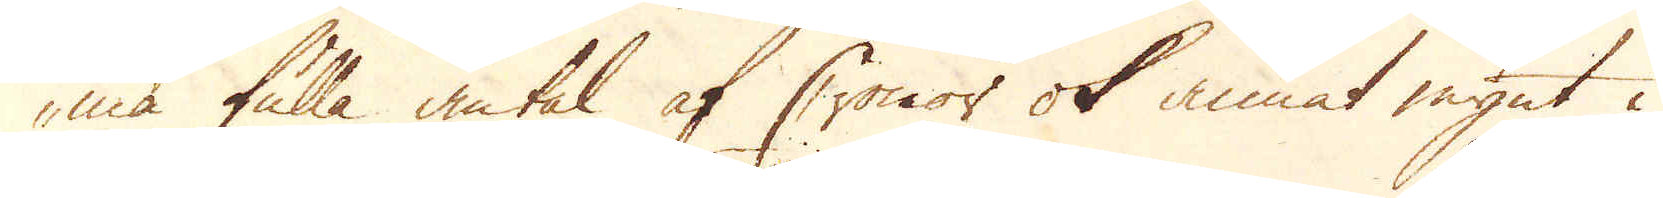ma fulla antal af Cronor ok annat mynt i
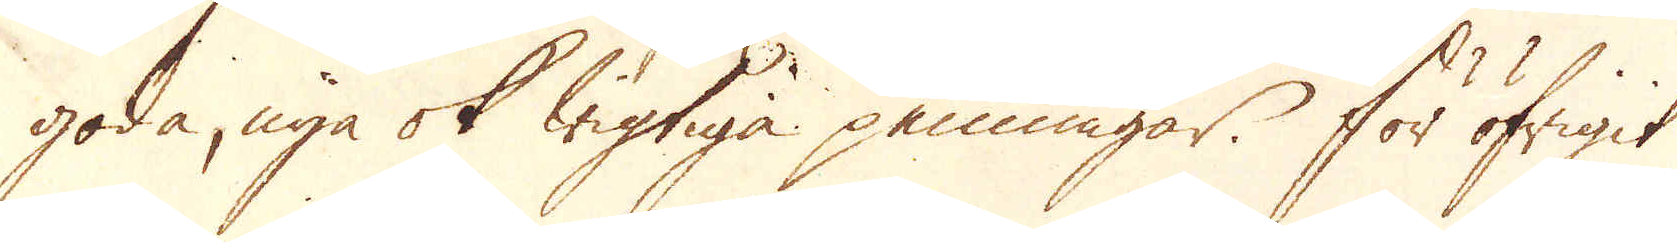goda, nya ok wigtiga penningar. För öfrigit
